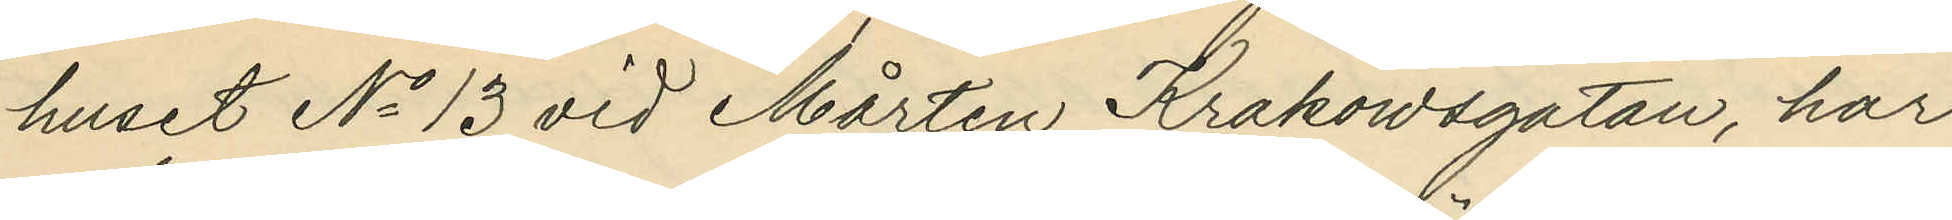huset No 13 vid Mårten Krakowsgatan, har
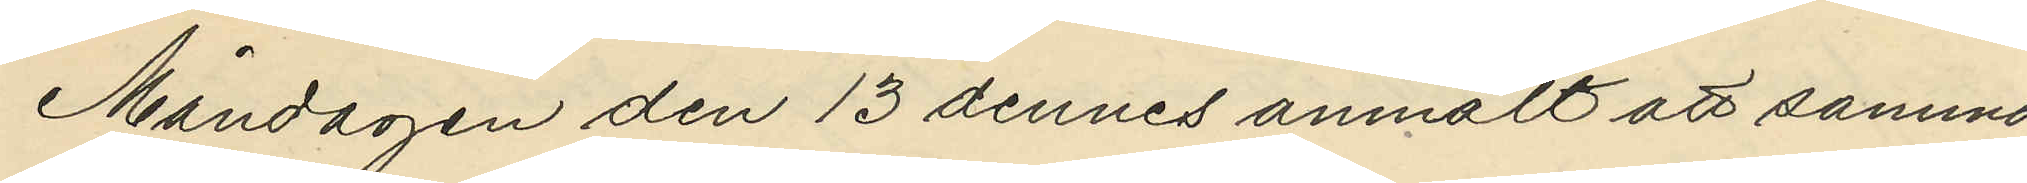Måndagen den 13 dennes anmält att samma
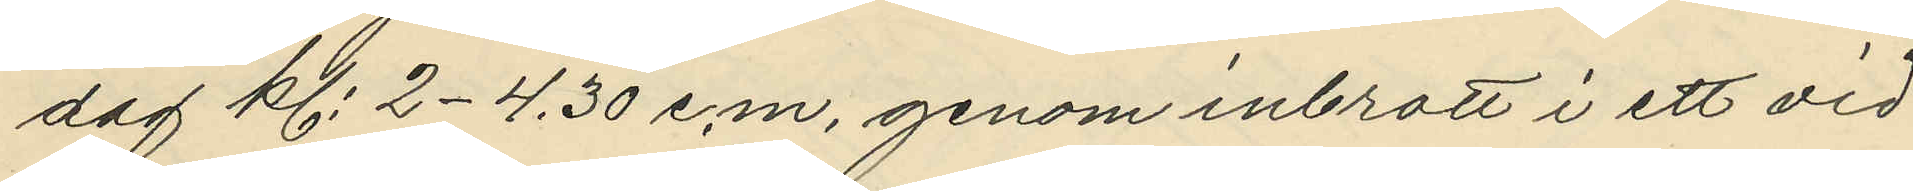dag kl. 2-4.30 e.m. genom inbrott i ett vid
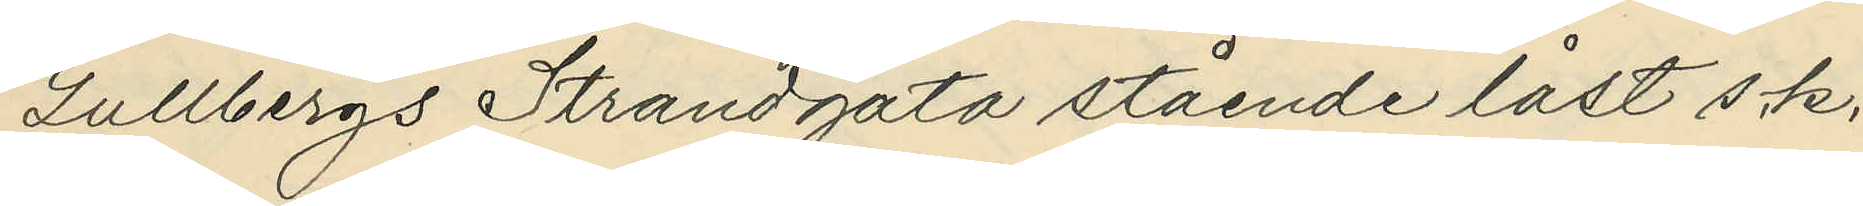Gullbergs Strandgata stående låst s.k.
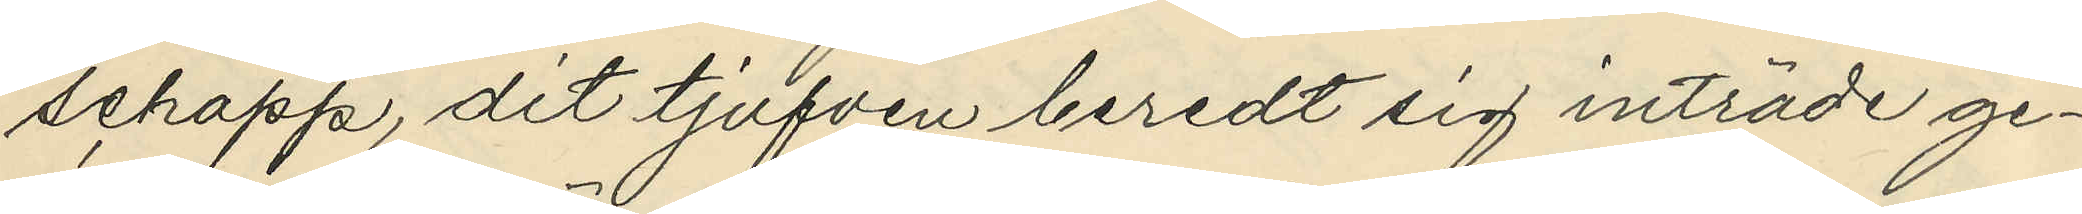schapp, dit tjufven beredt sig inträde ge¬
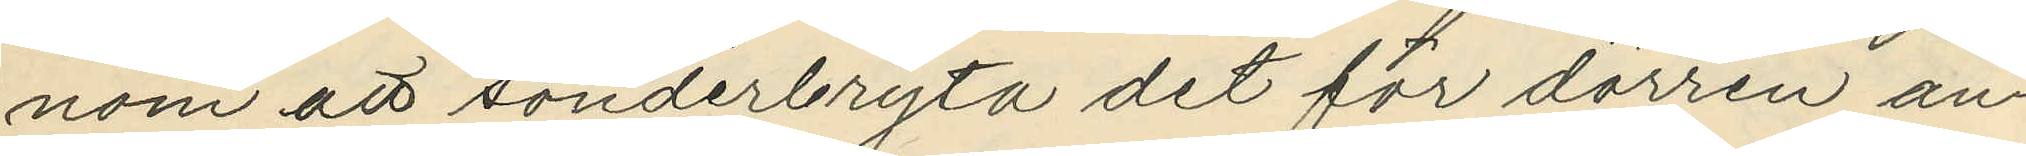nom att sönderbryta det för dörren an¬
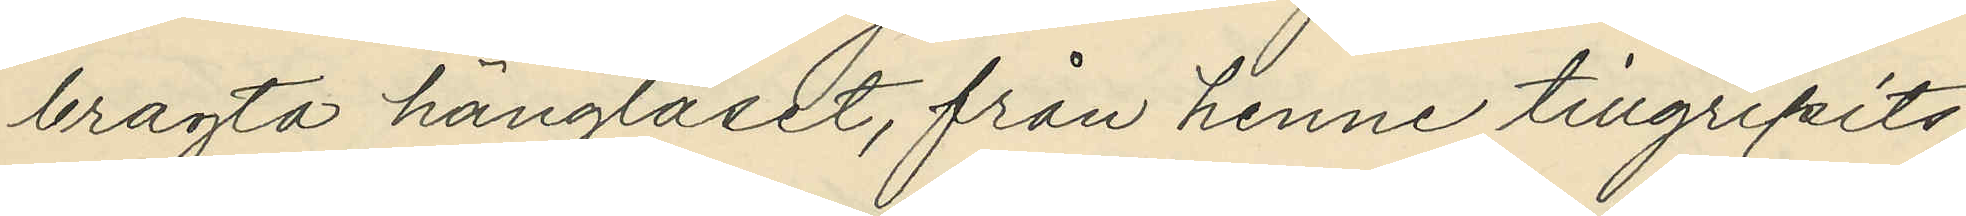bragta hänglåset, från henne tillgripits:
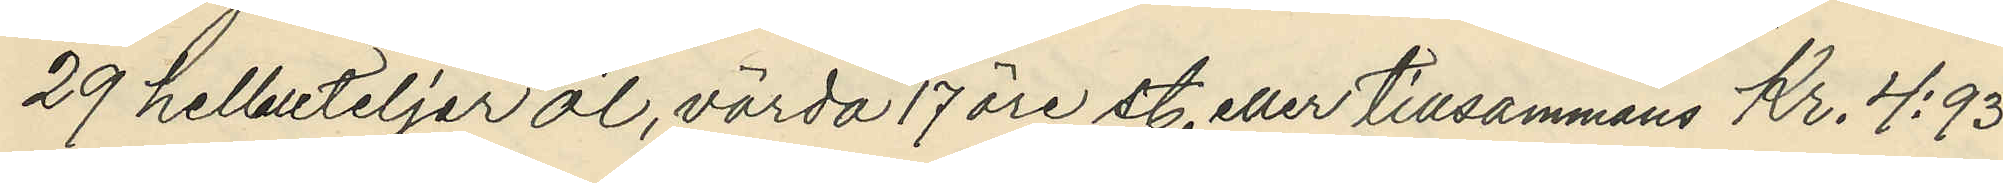29 helbuteljer öl, värda 17 öre st. eller tillsammans Kr. 4:93
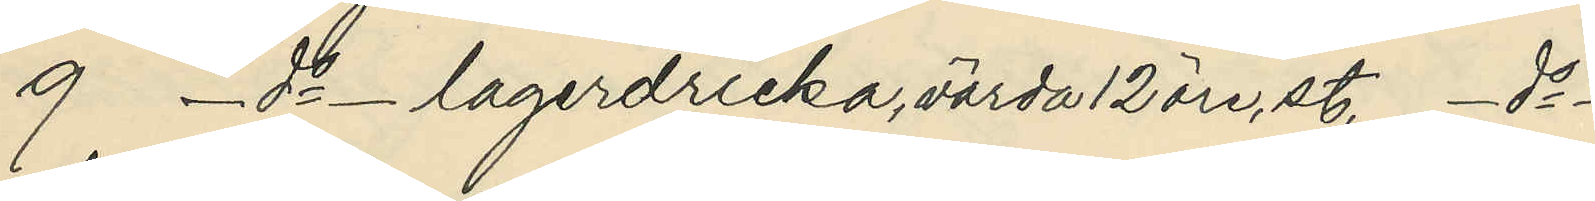9 _ do _ lagerdricka, värda 12 öre st. _ do _              
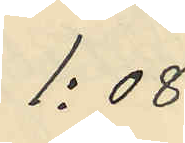1:08
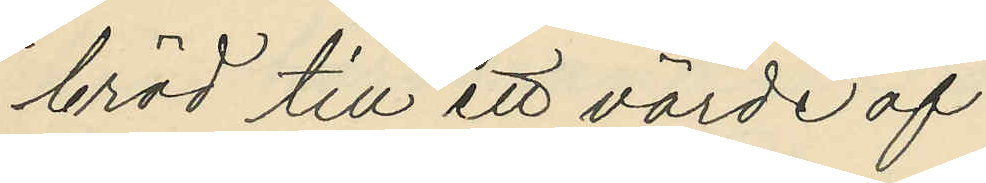bröd till ett värde af
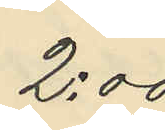2:00
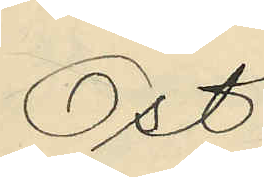Ost 
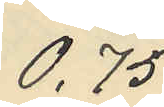0,75
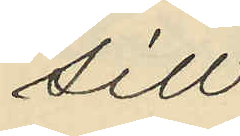Sill
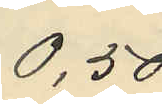0,50
